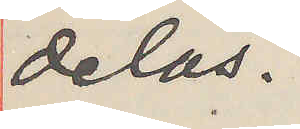delas.
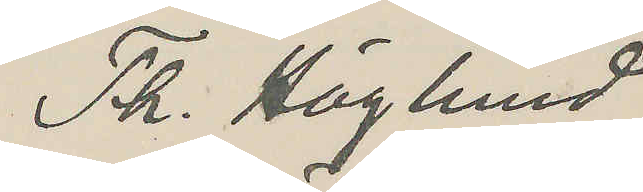Th. Höglund
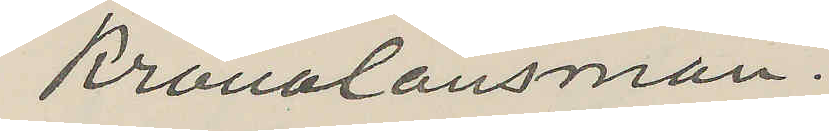Kronolänsman.
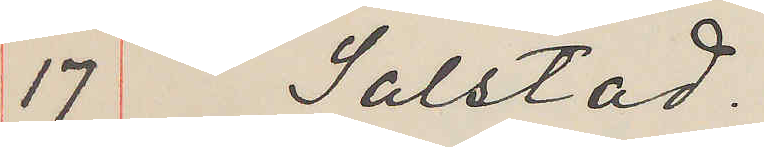17 Solstad.
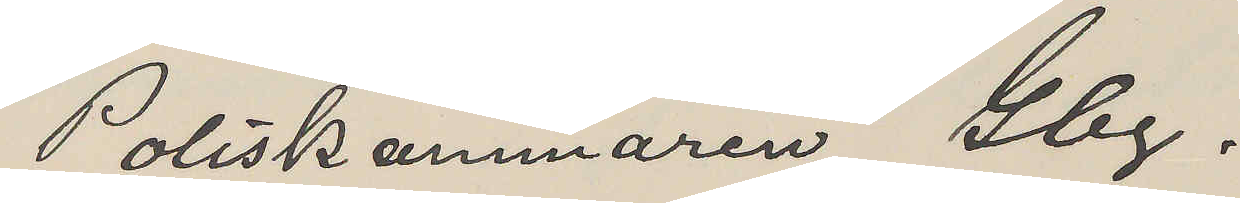Poliskammaren Obg.
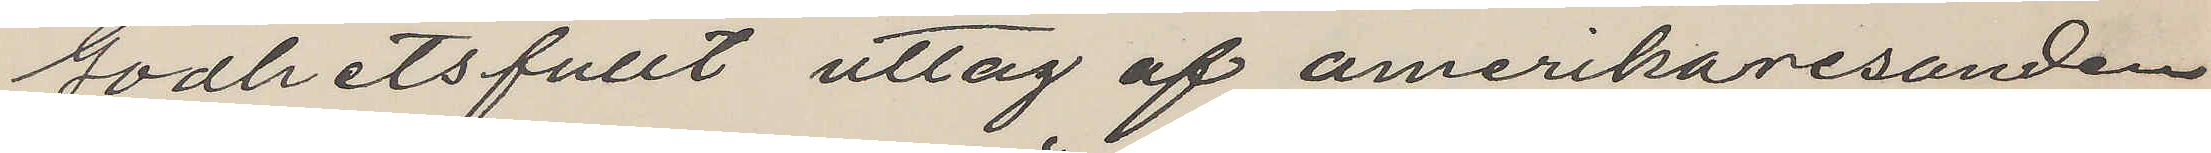Godhetsfullt uttag af amerikaresanden
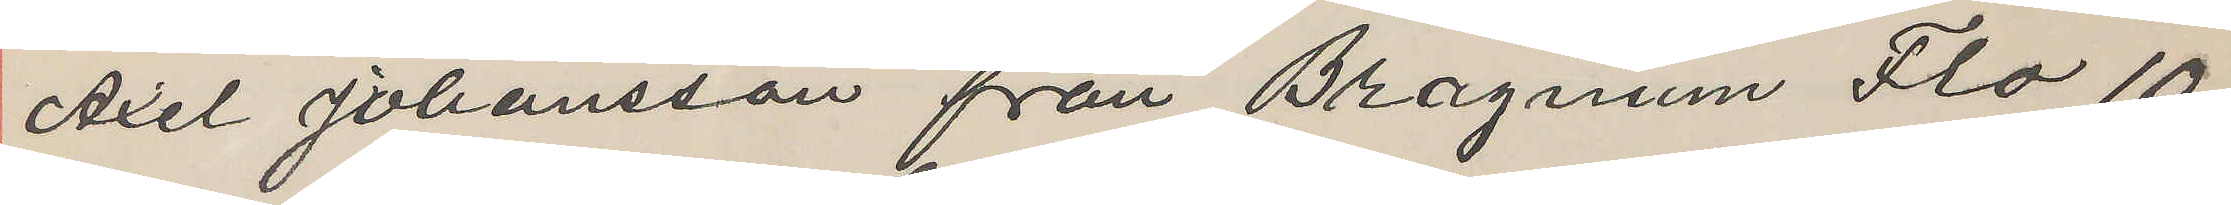Axel Johansson från Bragnum Flo 10
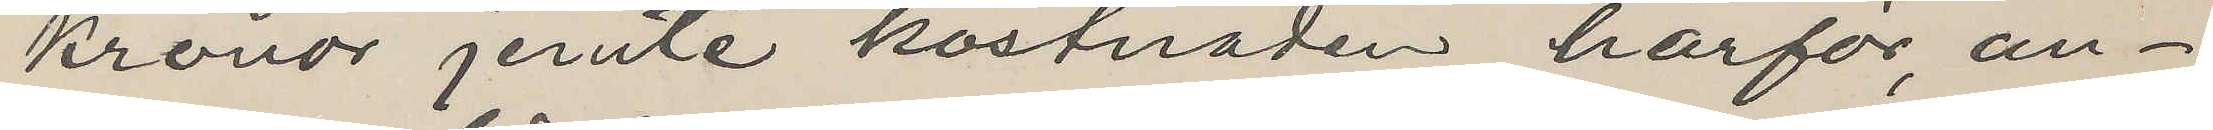Kronor jemte kostnaden härför, an¬
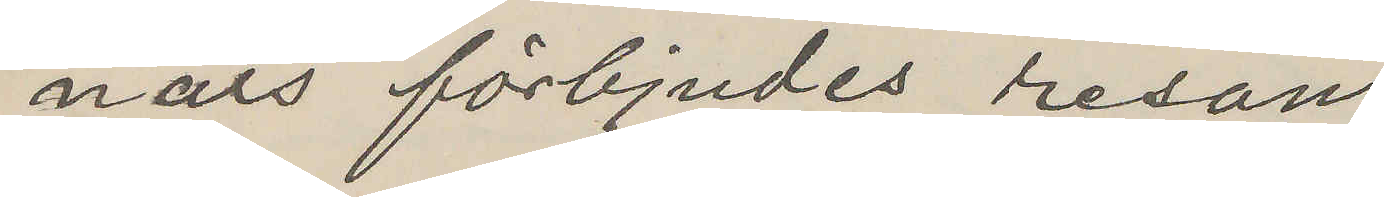nars förbjudes resan.
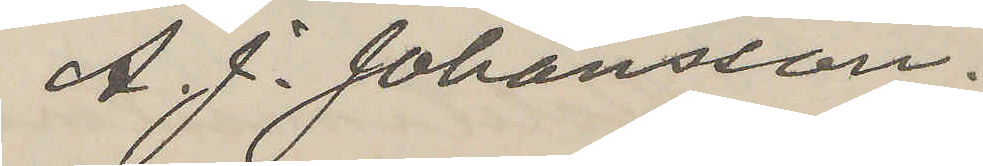A. J. Johansson
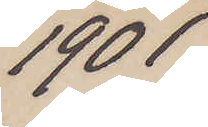1901
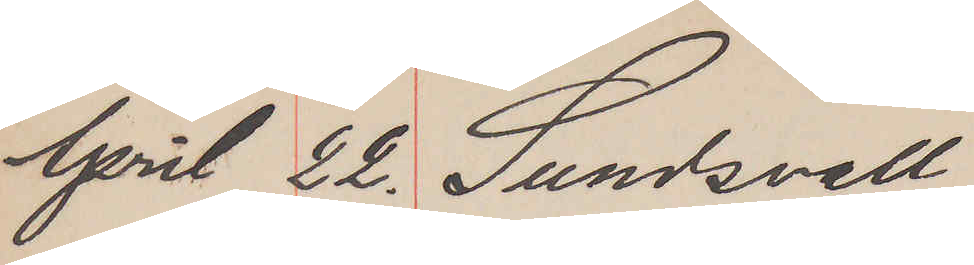April 22. Sundsvall
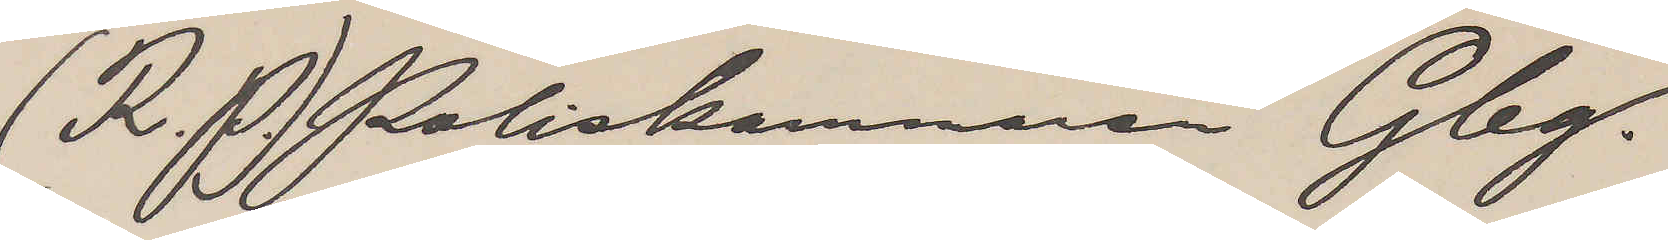(R.P.) Poliskammaren Gbg.
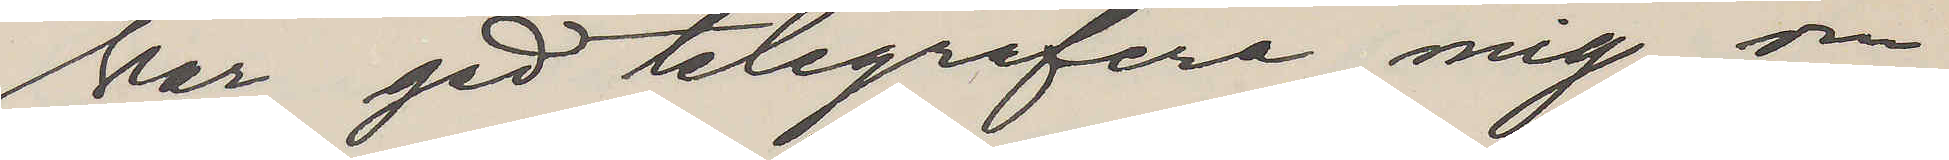Var god telegrefera mig om
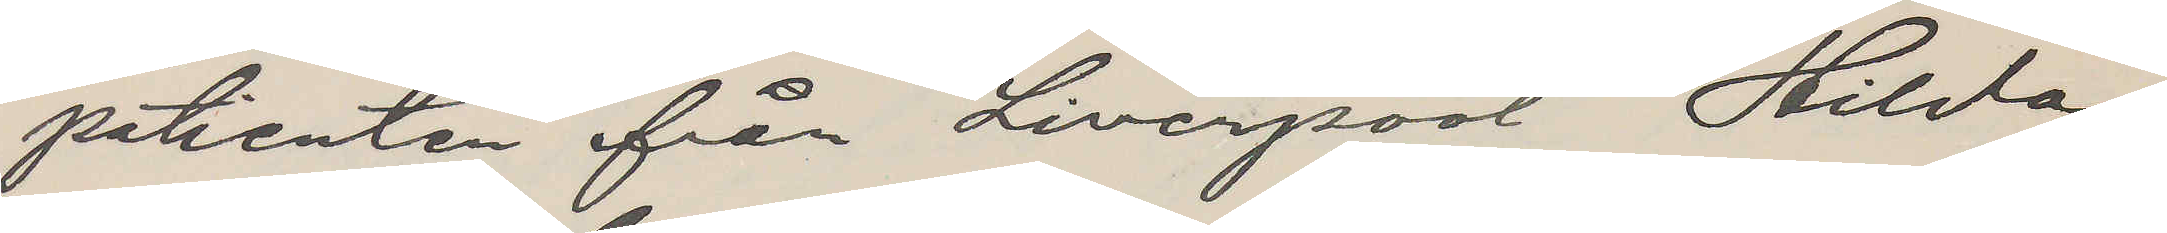patienten från Liverpool Hilda
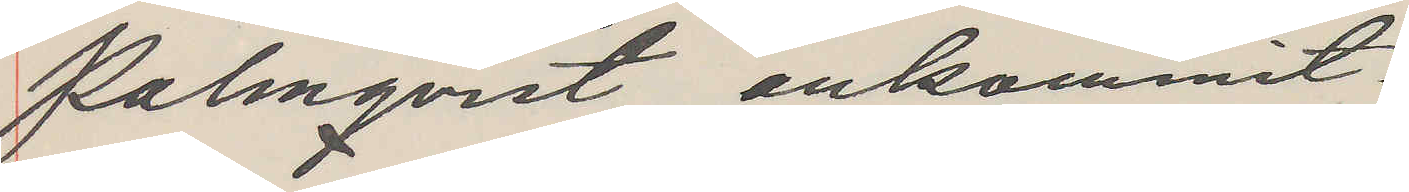Palmqvist ankommit.
